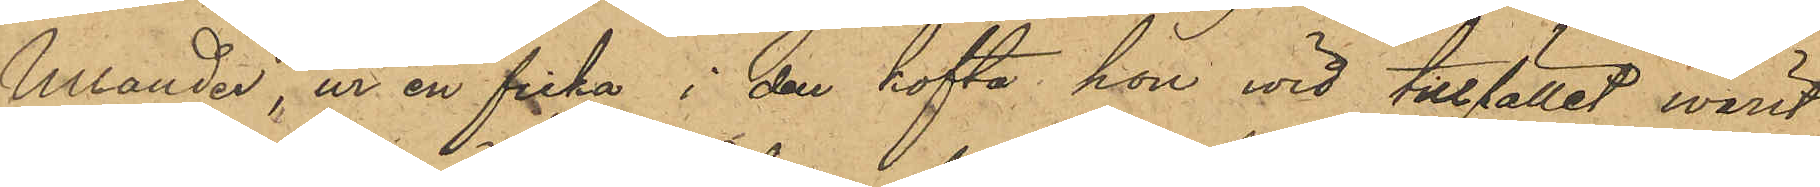Ullander, ur en ficka i den kofta, hon wid tillfället warit
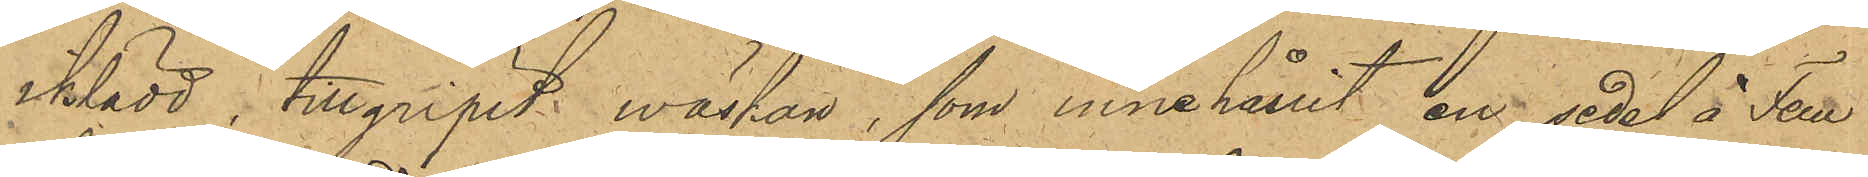iklädd, tillgripit wäskan, som innehållit en Sedel å Fem
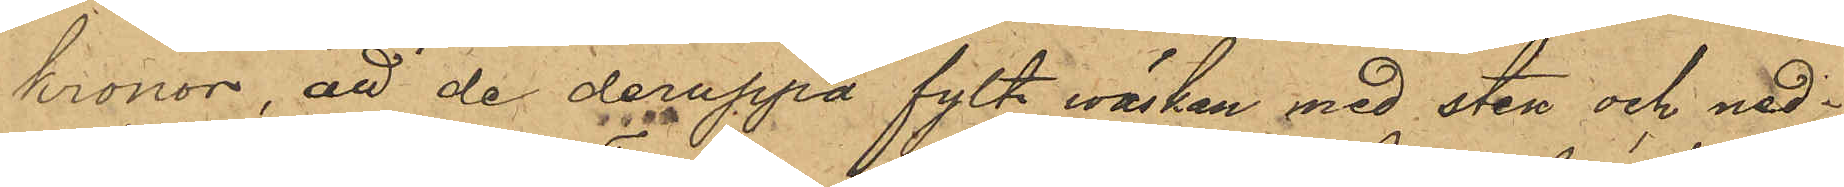kronor, att de deruppå fylt wäskan med sten och ned¬
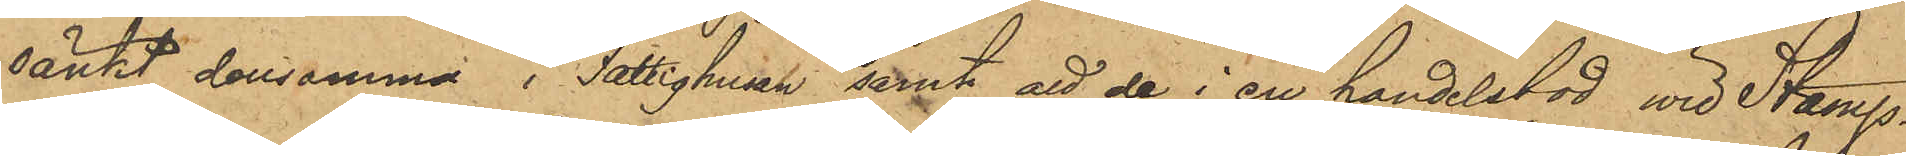sänkt densamma i Fattighusan samt att de i en handelsbod wid Stamp¬
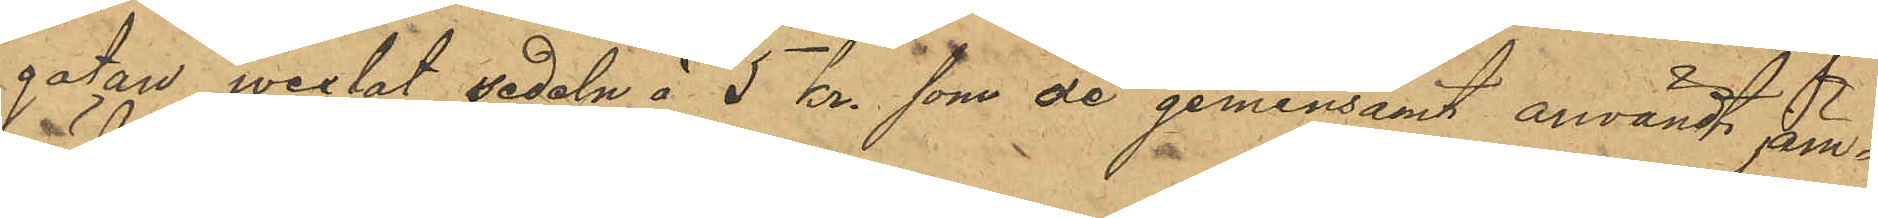gatan wexlat sedeln å 5 kr. som de gemensamt användt jem¬
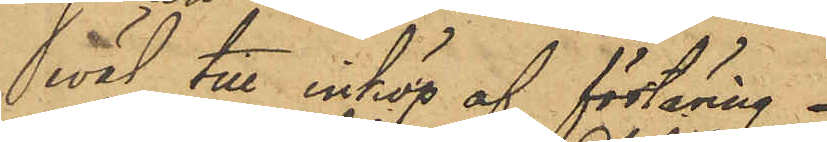wäl till inköp af förtäring.
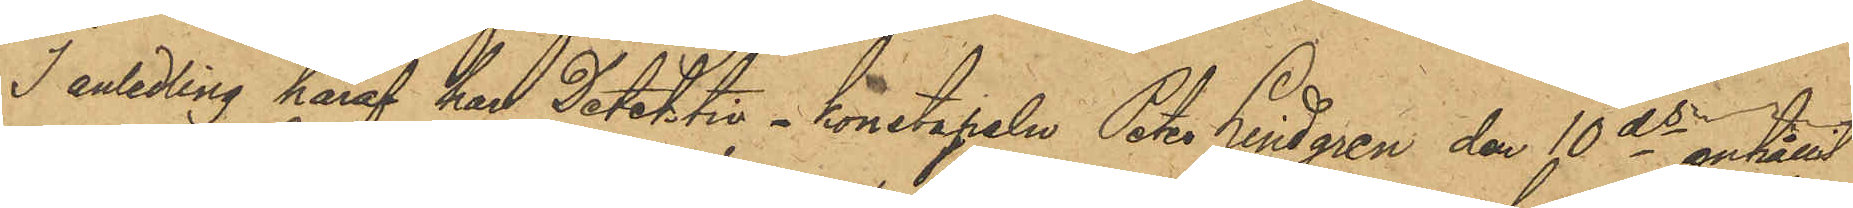I anledling häraf han Detektiv - konstapeln Peter Lindgren den 10 ds anhållit
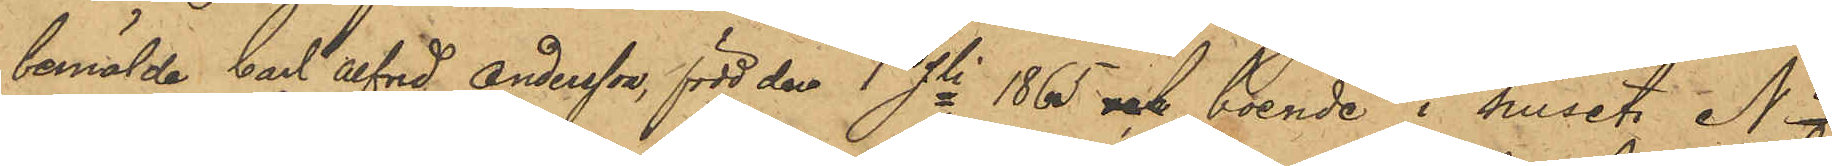bemälde Carl Alfred Andersson, född den 1 Jli 1865 och boende i huset No 
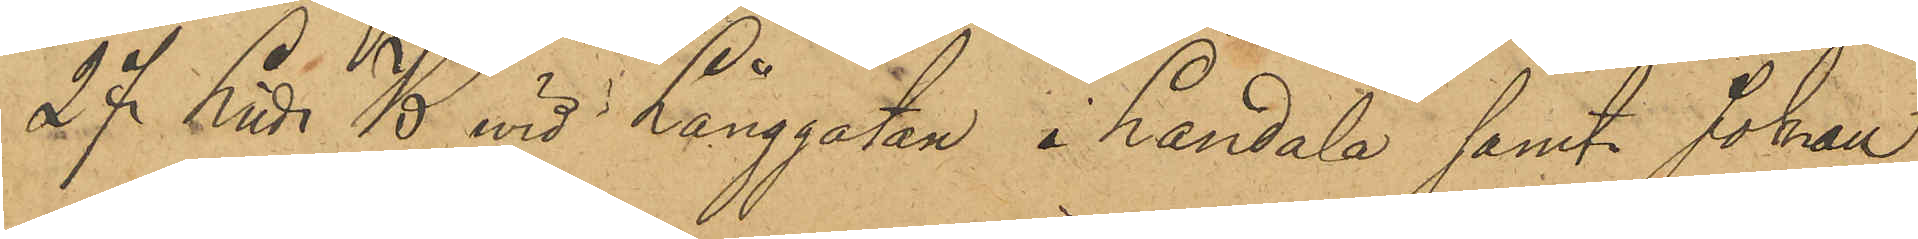27 Litt B wid Långgatan i Landala samt Johan
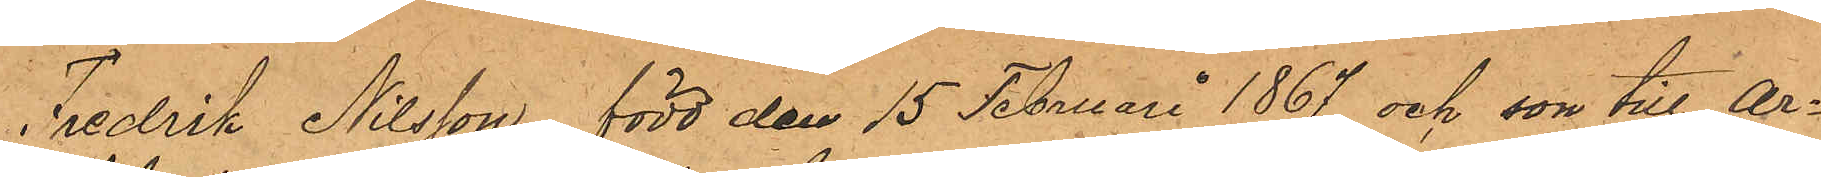Fredrik Nilsson, född den 15 Februari 1867 och son till Ar¬
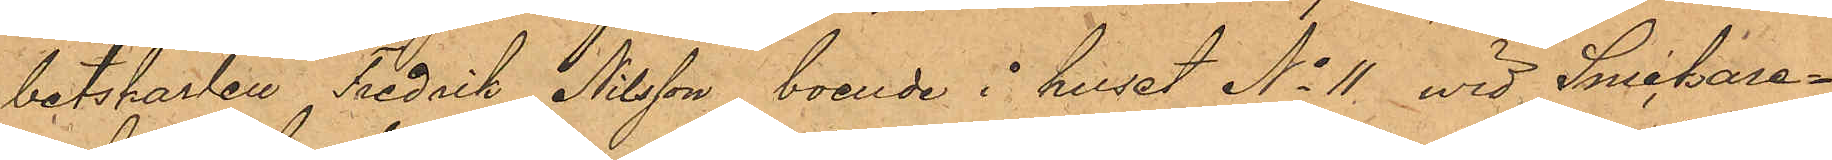båtskarlen Fredrik Nilsson, boende i huset No 11 wid Snickare¬
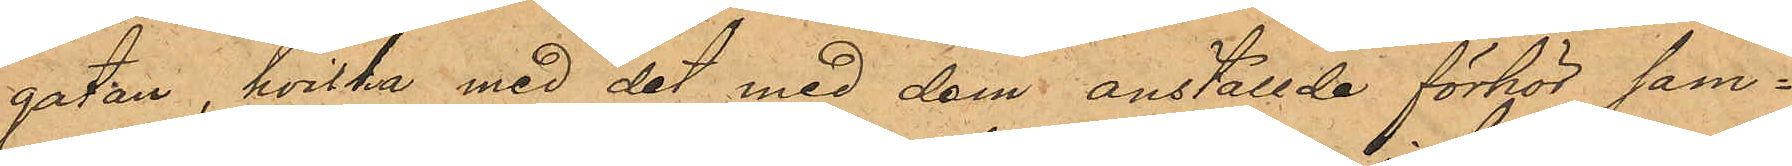gatan, hvilka med det med dem anställde förhör sam¬
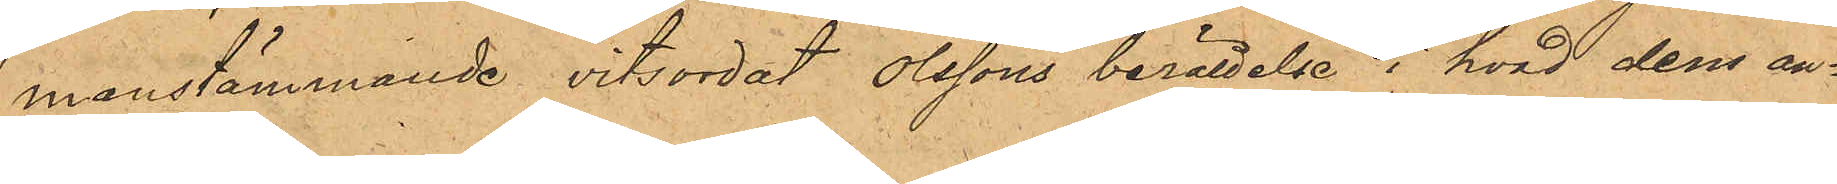manstämmande vitsordat Olssons berättelse i hvad dem an¬
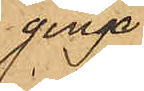ginge.
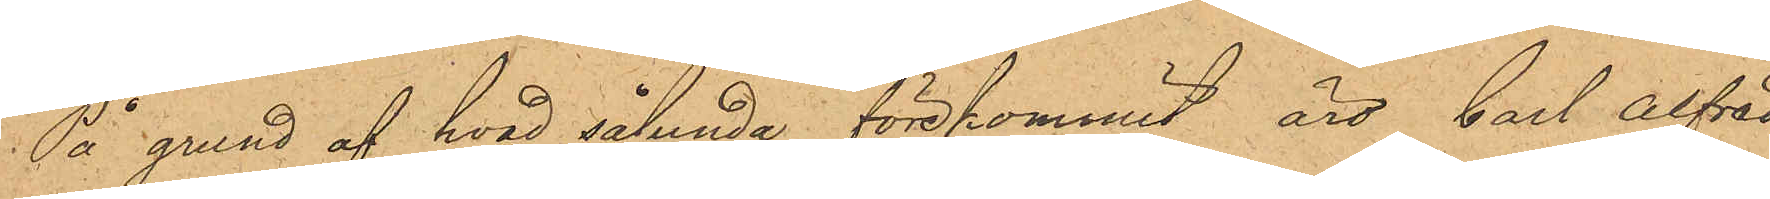På grund af hvad sålunda förekommit, äro Carl Alfred
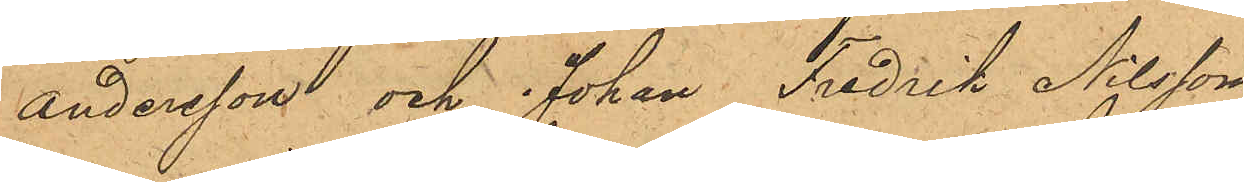Andersson och Johan Fredrik Nilsson
